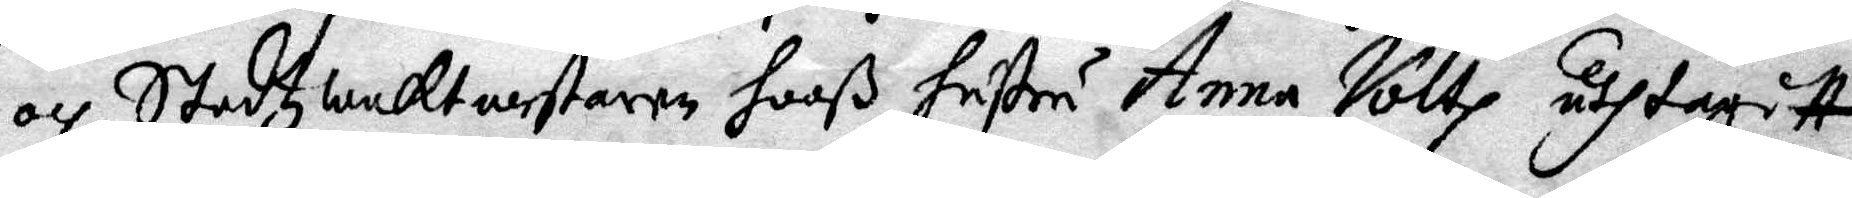och Stadzwaktmestaren hooß hustru Anna Voltz uthtagitt
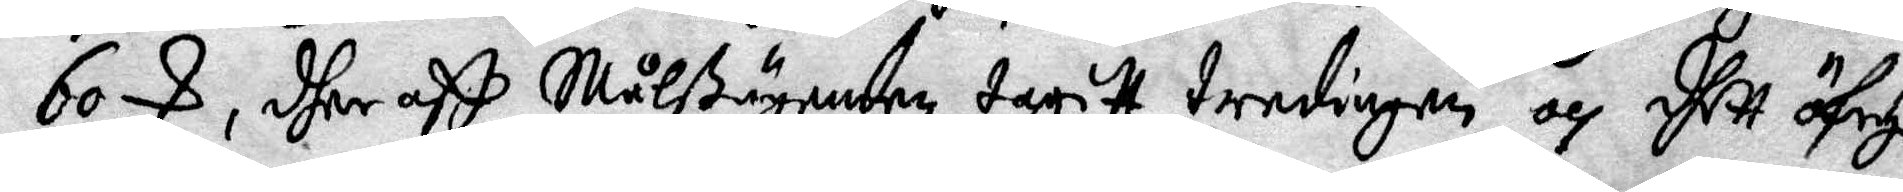60 S, dher aff målßäganden tagitt tredingen och dhett öfrige
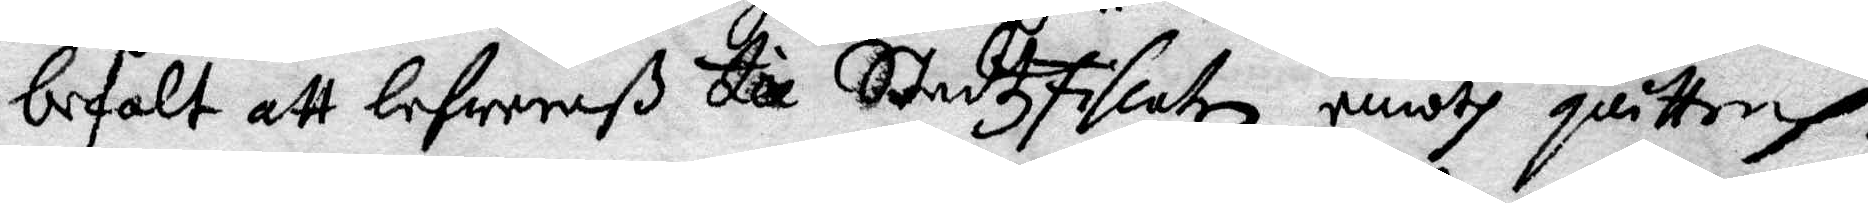befalt att lefwereraß till Stadzfiskalem emodh quittonh.
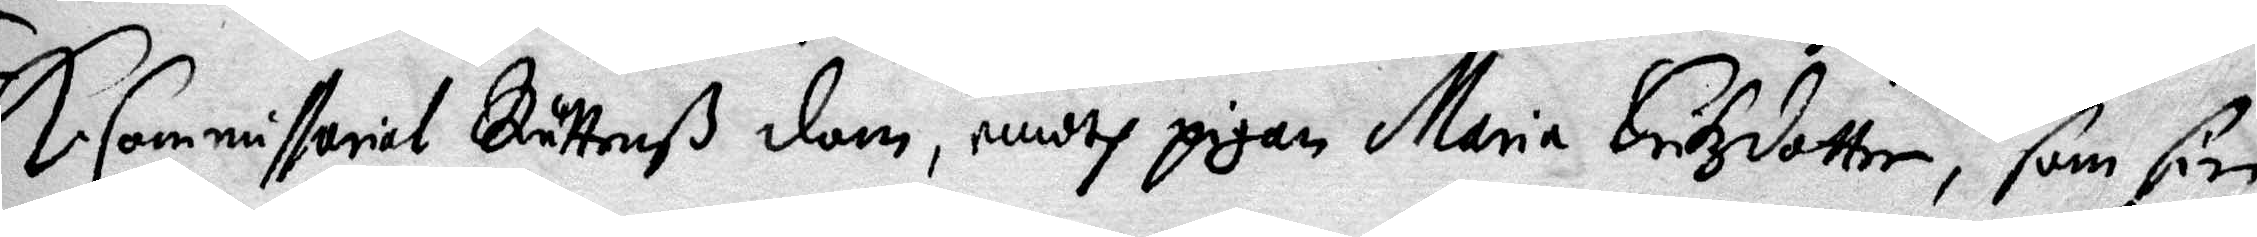K. Commissorial Rättenß dom, emodh pigan Maria Erikzdotter, som sin
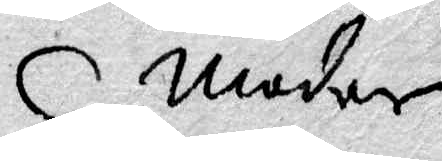moder
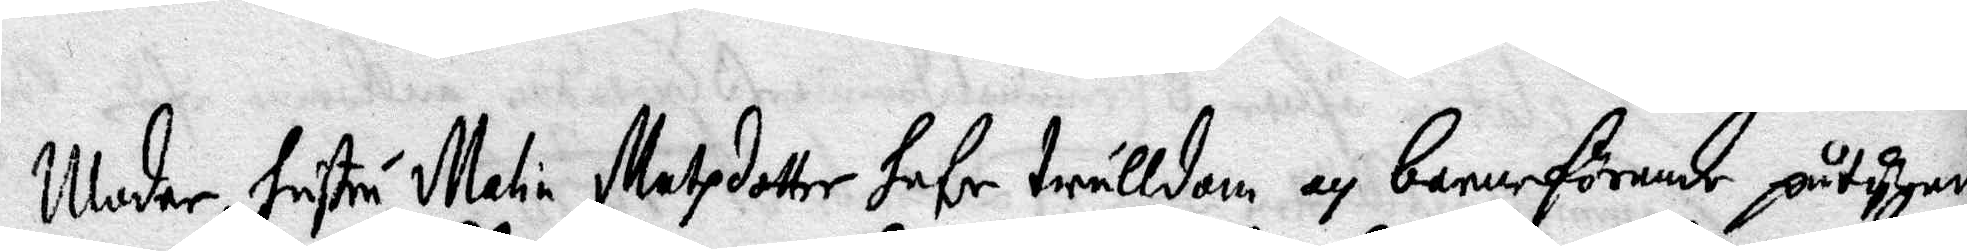Moder, hustru Malin Matzdotter hafe trulldom och barnaförande påtygande
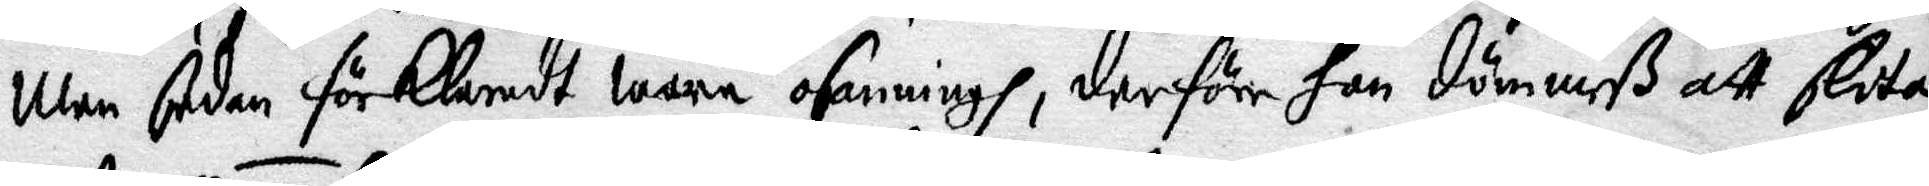men sedan förklaradt wara osanningh, derföre hon dömmeß att slita
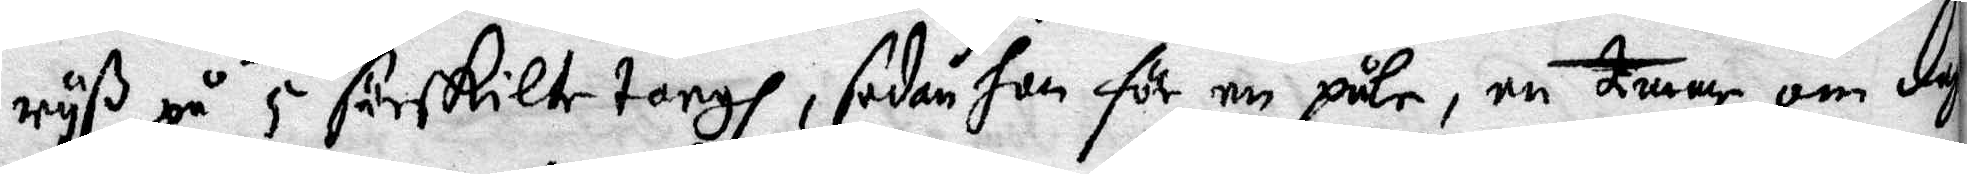ryß på 5 särskilte torgh, sedan hon för en påle, en timme om dag
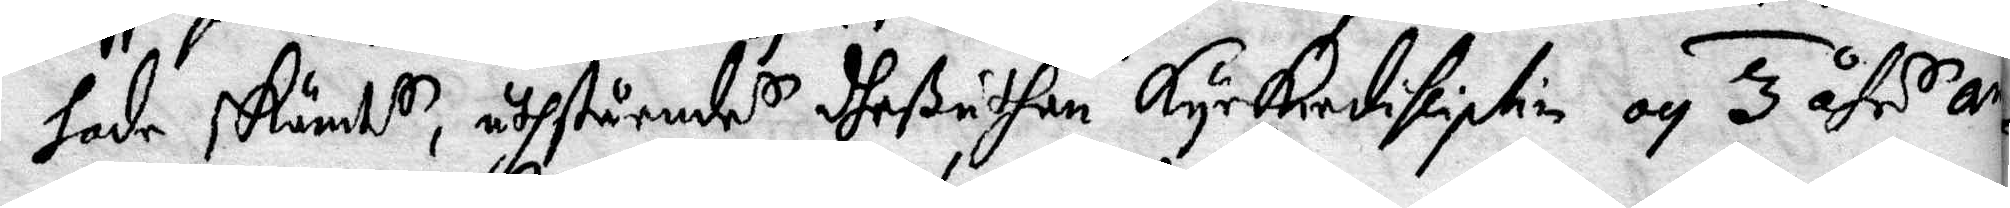hade skämts, uthstående dheßuthan Kyrkiodissiplin och 3 åhr ar¬
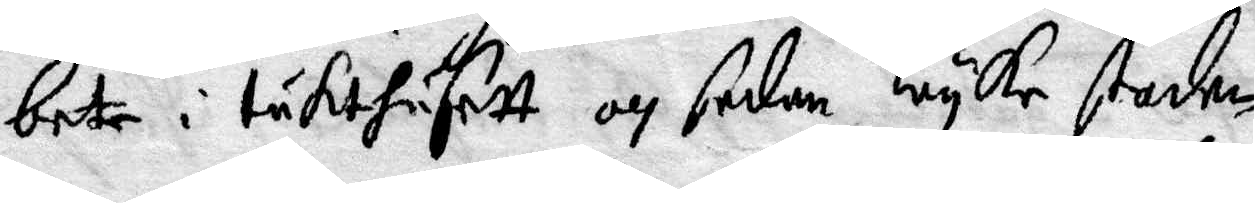bete i tukthusett och sedan wyke staden.
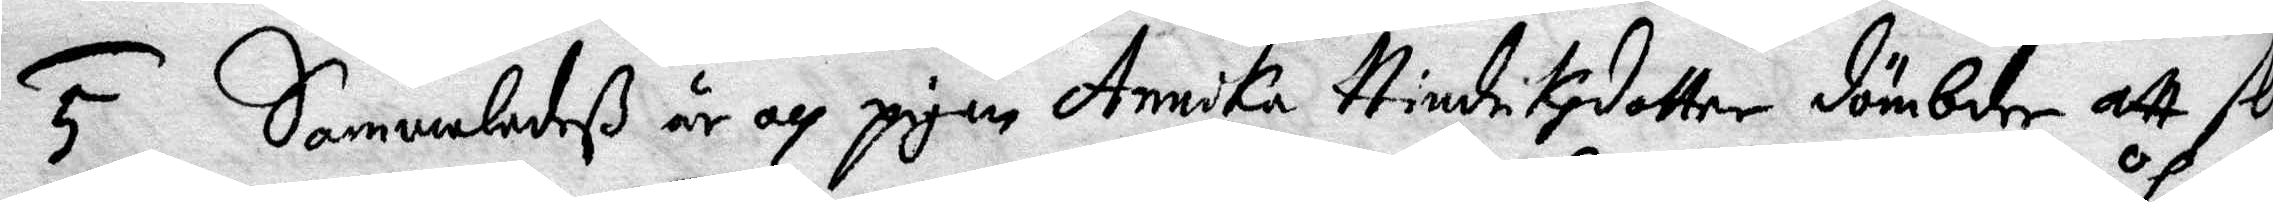5 Sammaledeß är och pigan Annika Hindrikzdotter dömbde att sli¬
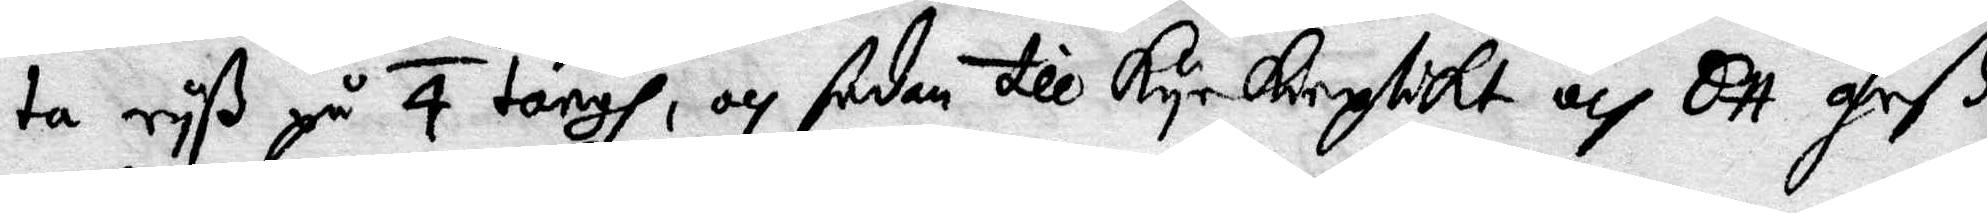ta ryß på 4 torgh, och sedan till Kyrkioplikt och ett åhrß
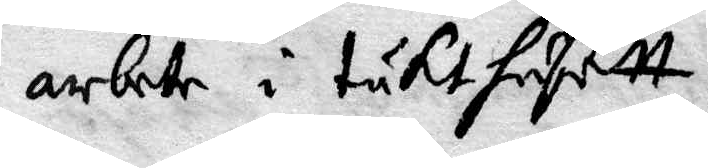arbet i tukthusett.
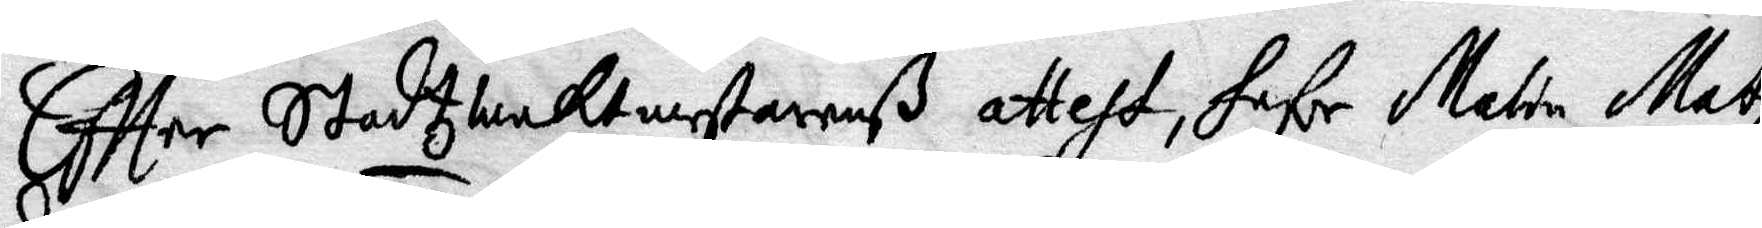Effter Stadtzwaktmestarenß attest, hafe Malin Matz¬
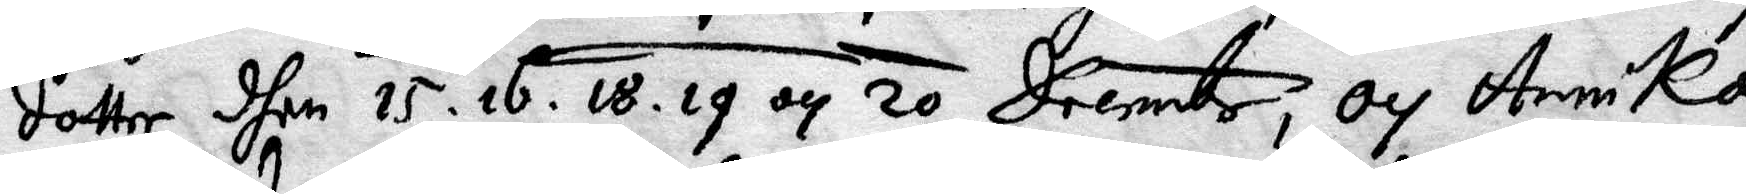dotter dhen 15. 16. 18. 19 och 20 Decembr, och Annika
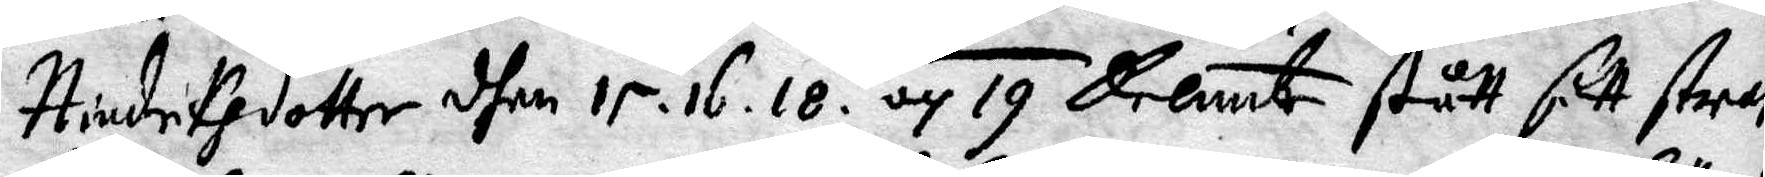Hindriksdotter dhen 15, 16, 18 och 19 Decembr stårr sitt straff
